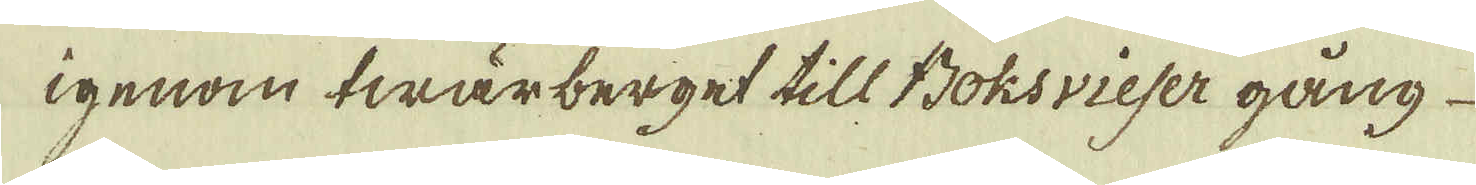igenom twärberget till Boksvieser gång
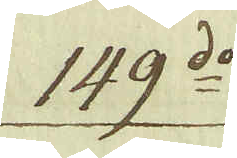149:do
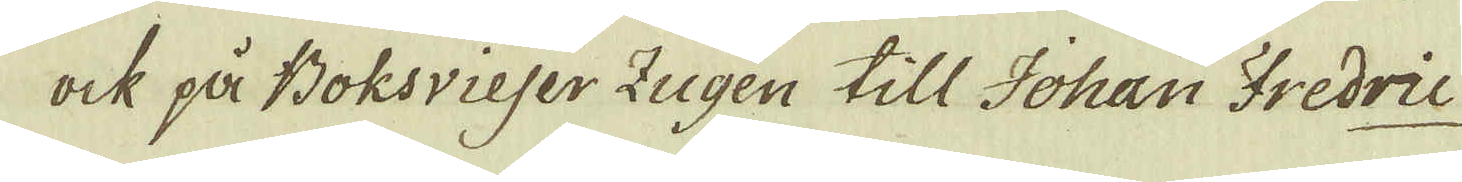ock på Boksvieser Zugen till Johan Fredric
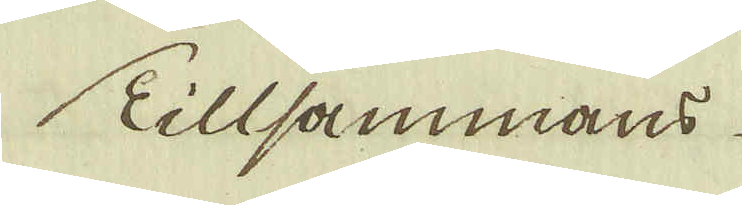Tillsammans
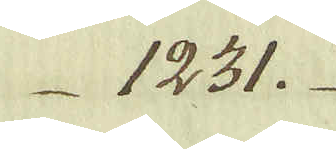1231.
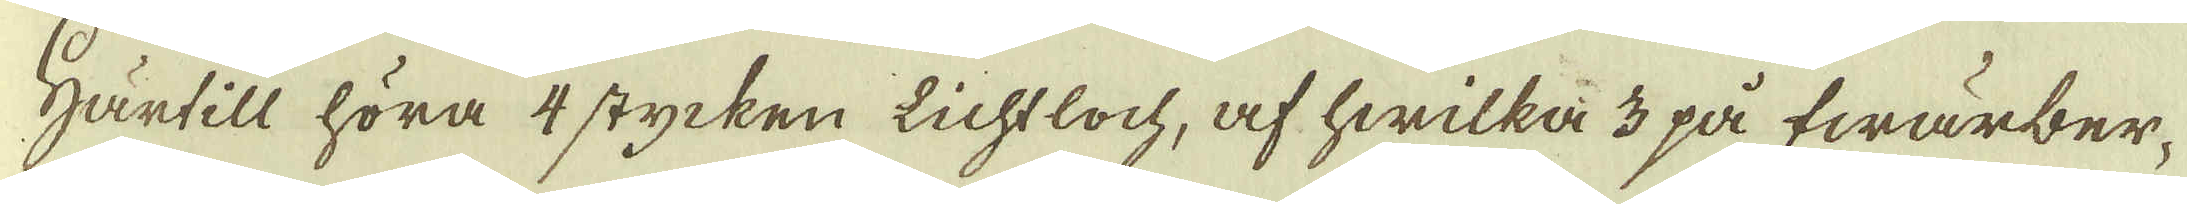Härtill höra 4 stycken Lichtloch, af hwilka 3 på fwärber-
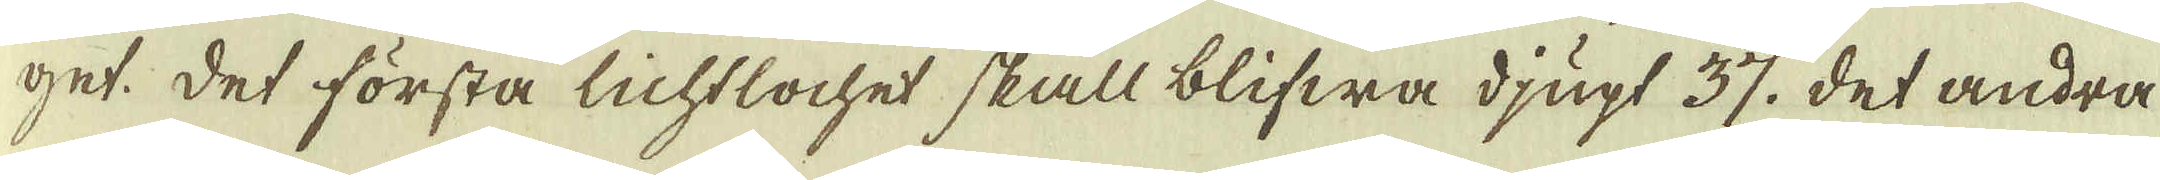get det sörsta lichtlochet skall blifwa djupt 37. det andra
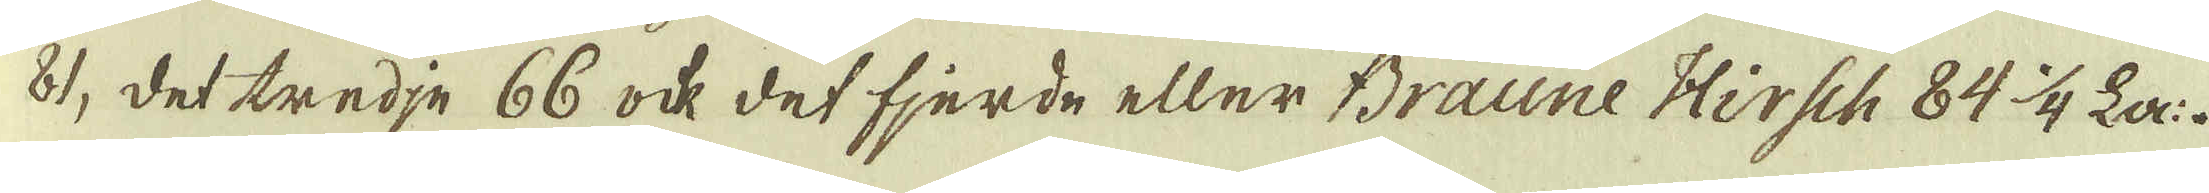81, det tredje 66 ock det fjerde eller Braune Hirsch 84 1/4 La:
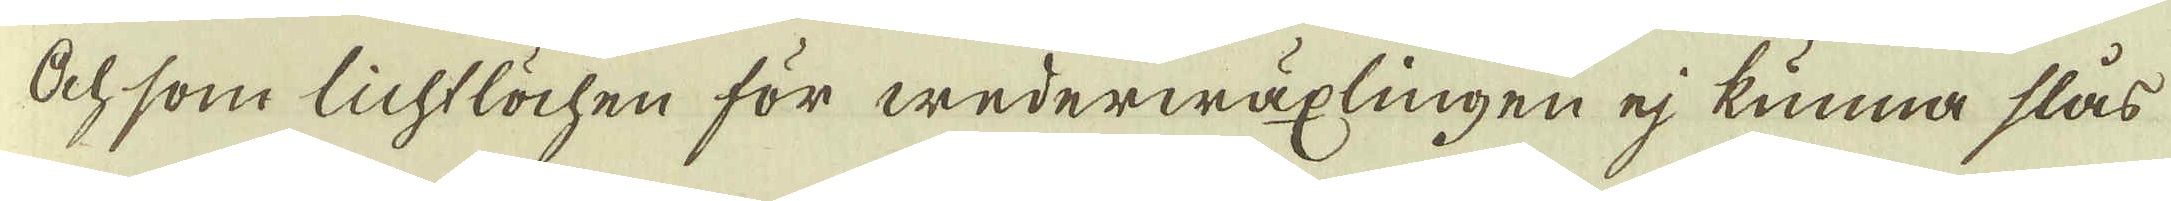Och som lichtlöchen för wederwäxlingen ej kunna slås
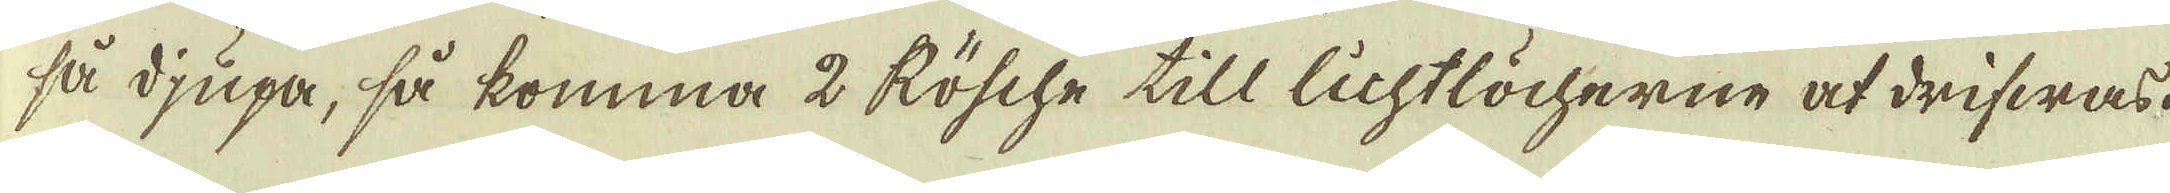så djupa, så komma 2 Rösche till lichtlöcherne at drifwas.
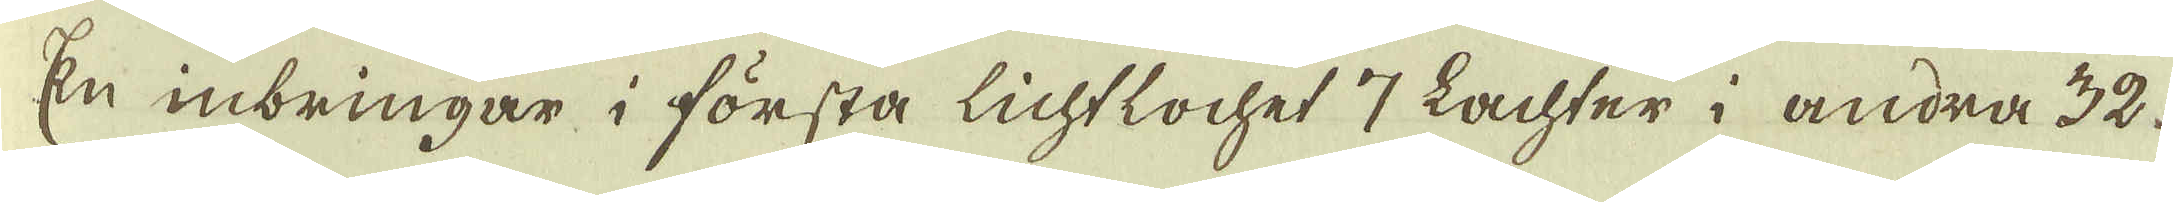En inbringar i första lichtlochet 7 Lachter i andra 32.
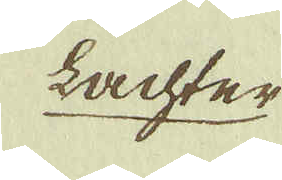lachter
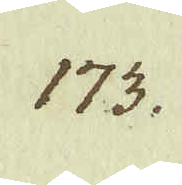173.
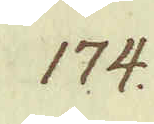174.
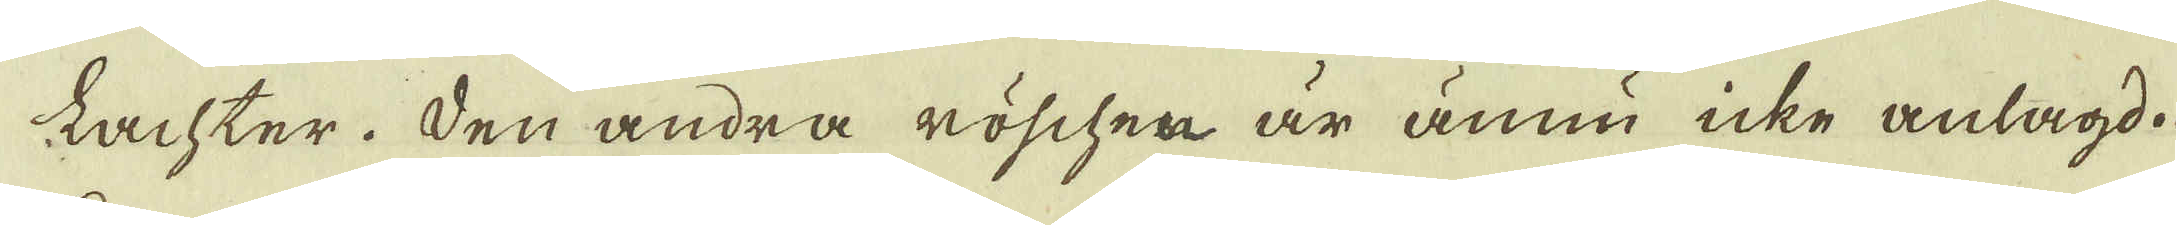lachter. Den andra röschen är ännu icke anlagd.
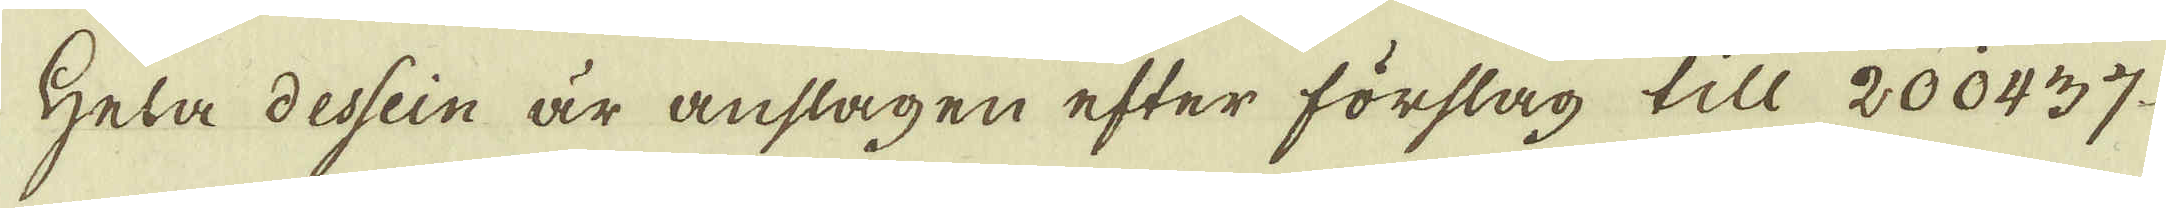Hela dessein är anslagen efter förslag till 200437.
